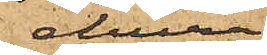ehuru
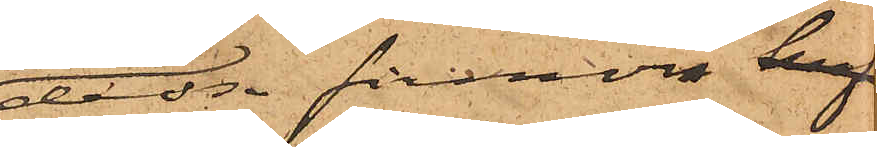dessa firmor haf¬
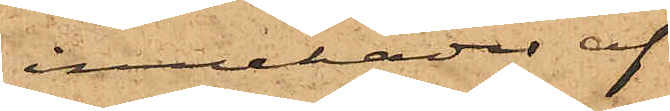innehades af
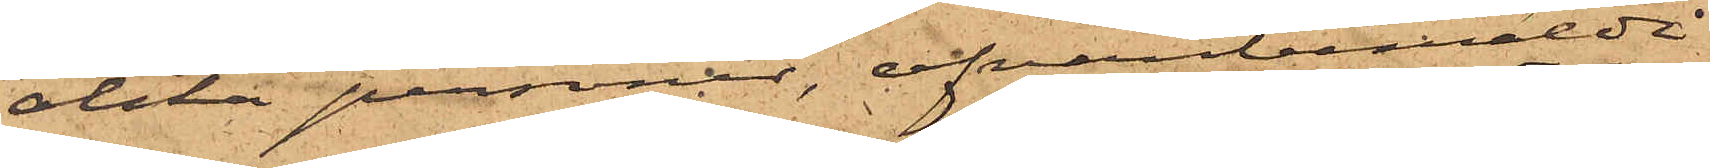olika personer, ofvanbemälda
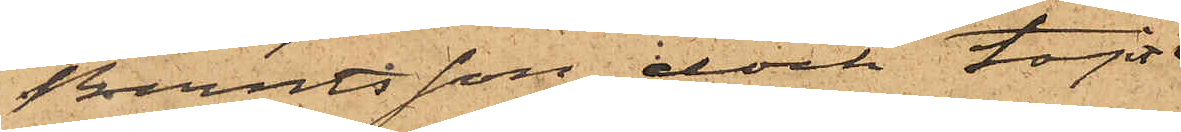Berntsson dock tagit
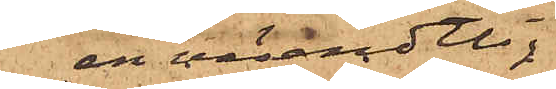all väsendtlig
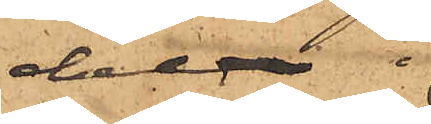del i
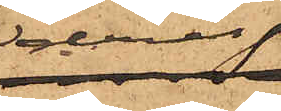deras
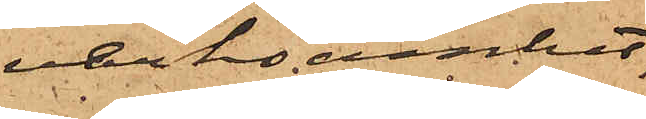verksamhet,
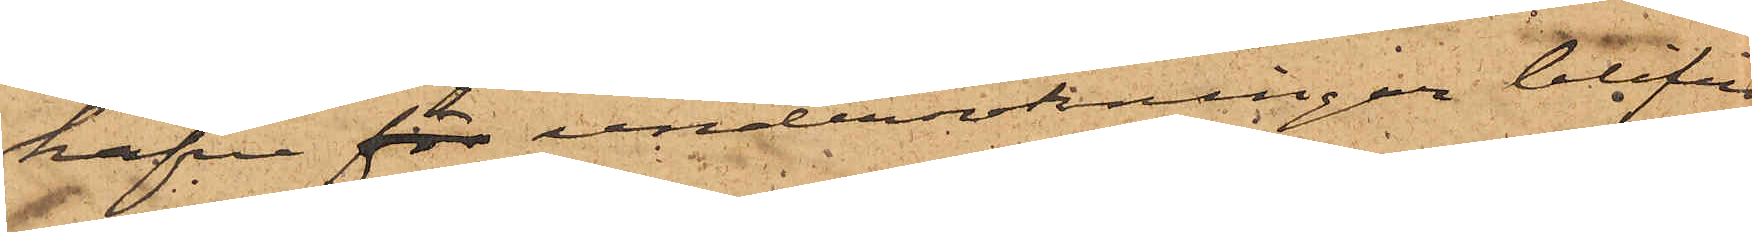hafva för undersökningar blifvit
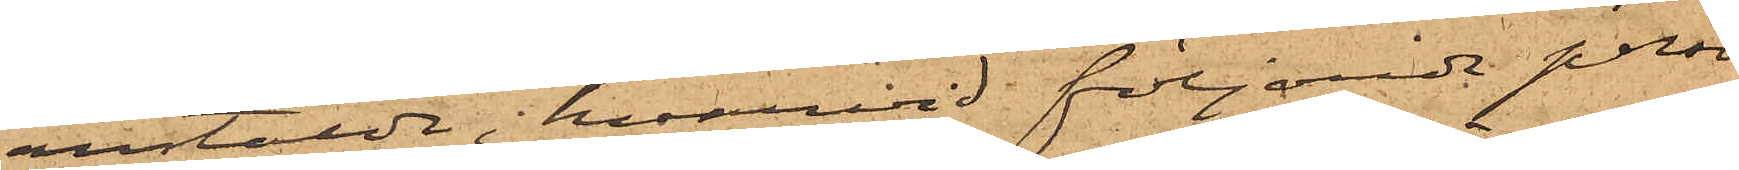anstälda, hvarvid följande perso¬
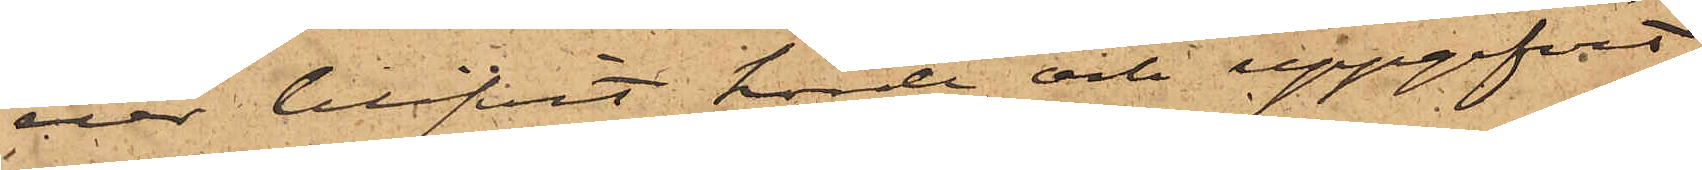ner blifvit hörde och uppgifvit:
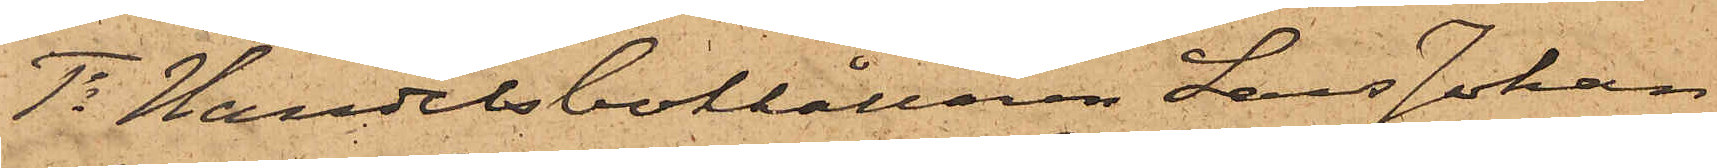1o Handelsbokhållaren Lars Johan
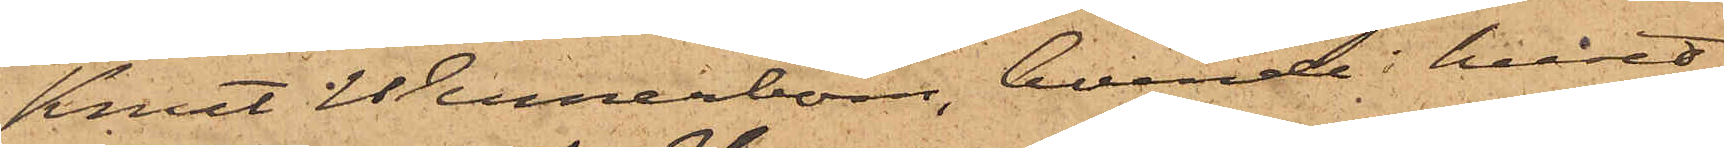Knut Wennerbom, boende i huset
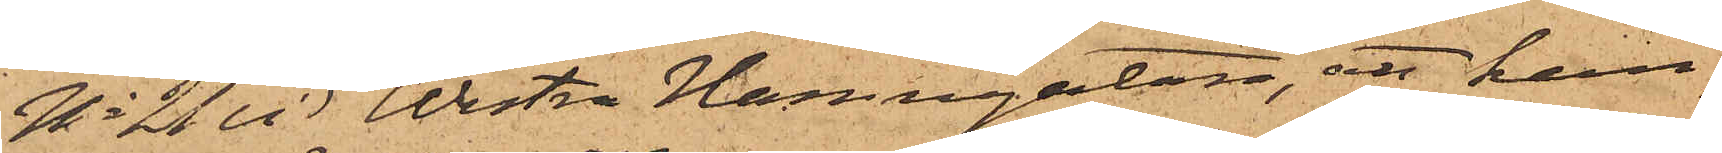No 21 vid Westra Hamngatan, att han,
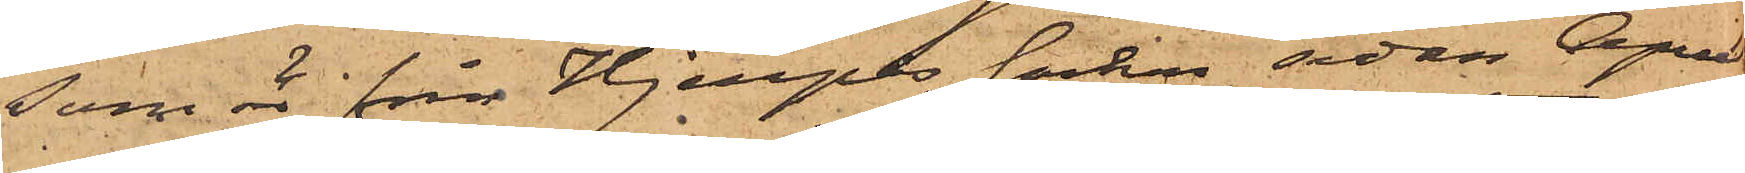som är från Hjerpås socken, sedan April
